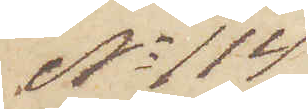No 114
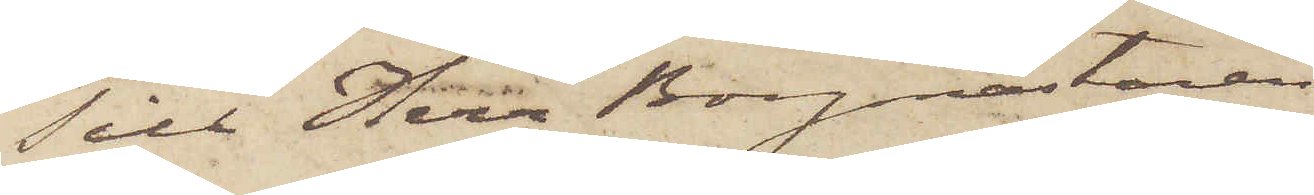Till Herr Borgmästaren i
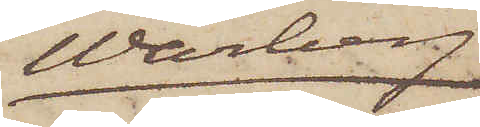Warberg
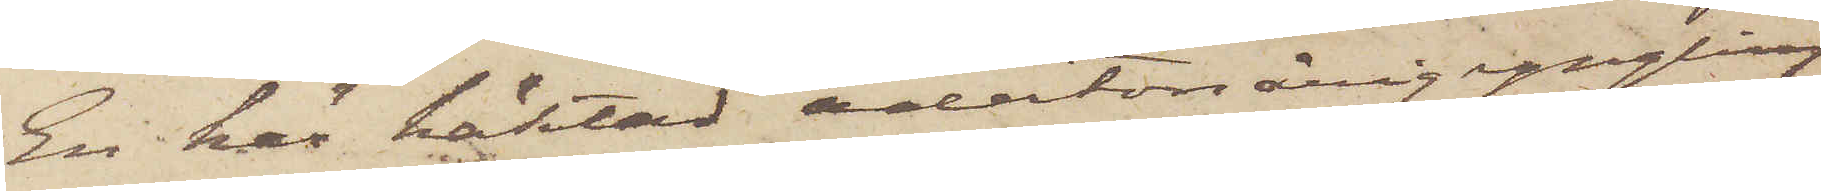En här häktad adertonårig yngling
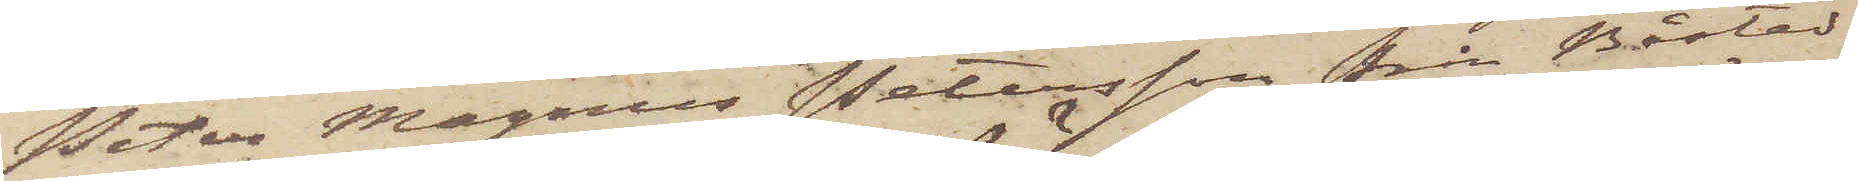Peter Magnus Petersson från Båstad
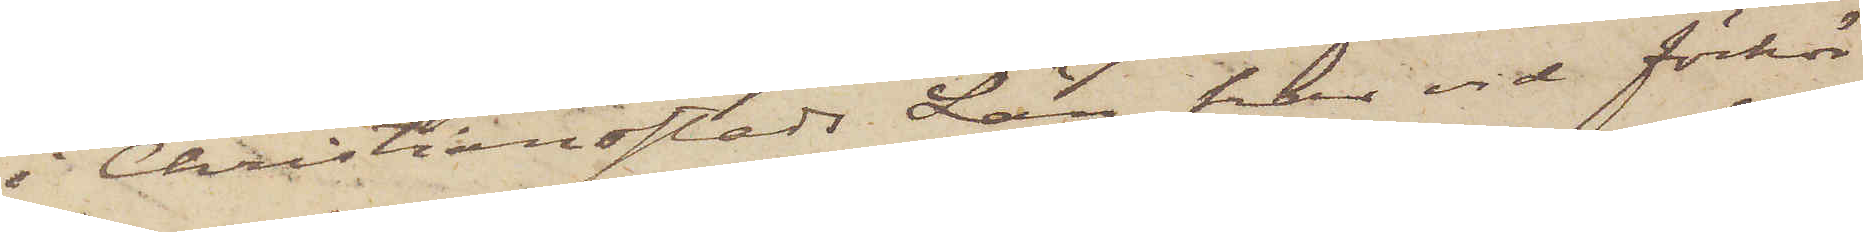i Christiansstads Län, har vid förhör
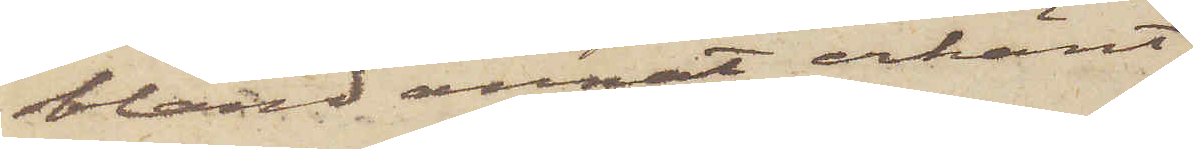bland annat erkänt
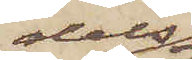dels
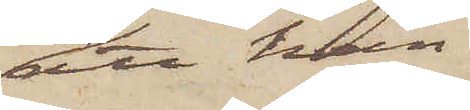att han
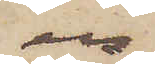en
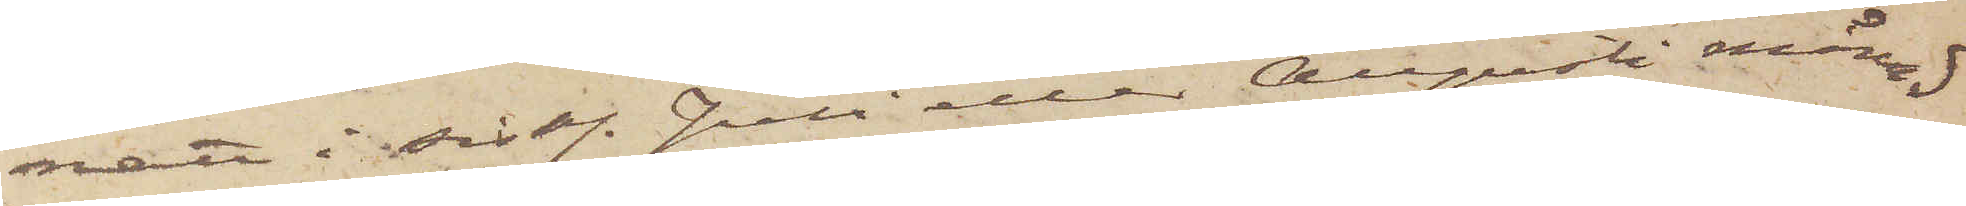natt i sistl. Juli eller Augusti månad
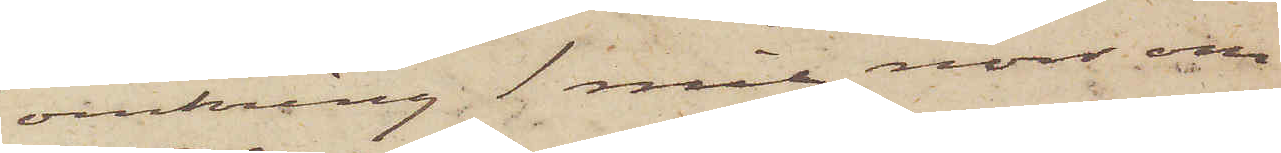omkring 1 mil norr om
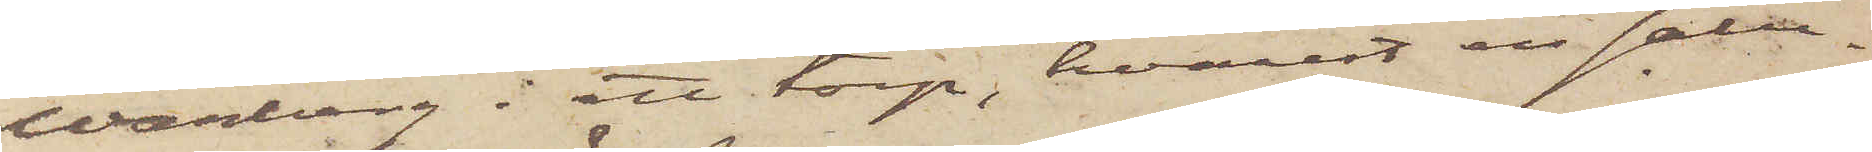Warberg i ett torp, hvarest en salu¬
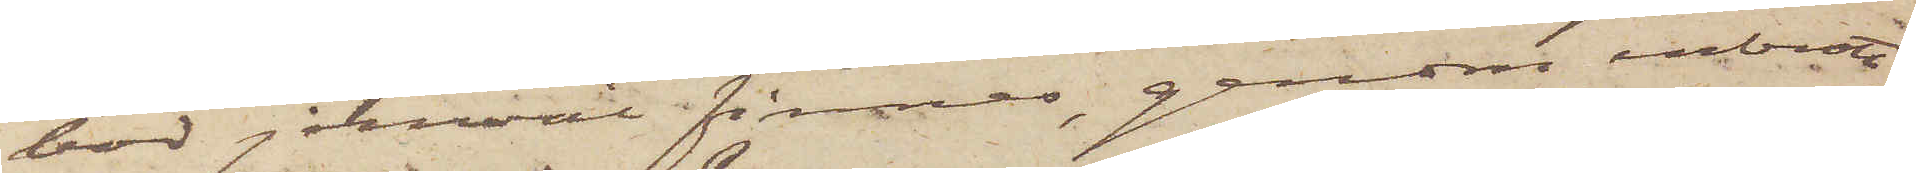bod jemväl finnes, genom inbrott
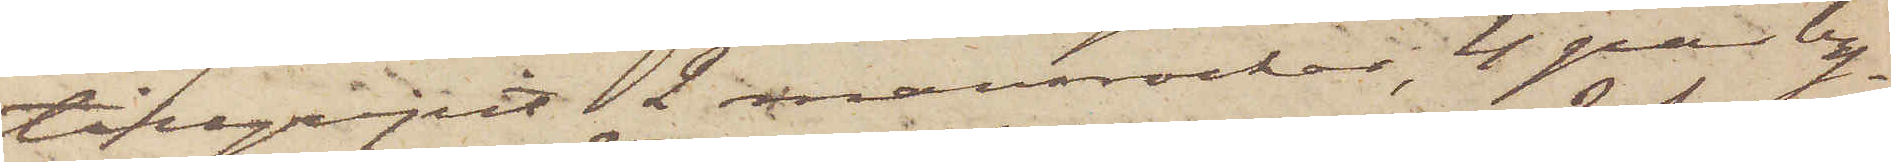tillgripit 2 mansrocker, 4 par by¬
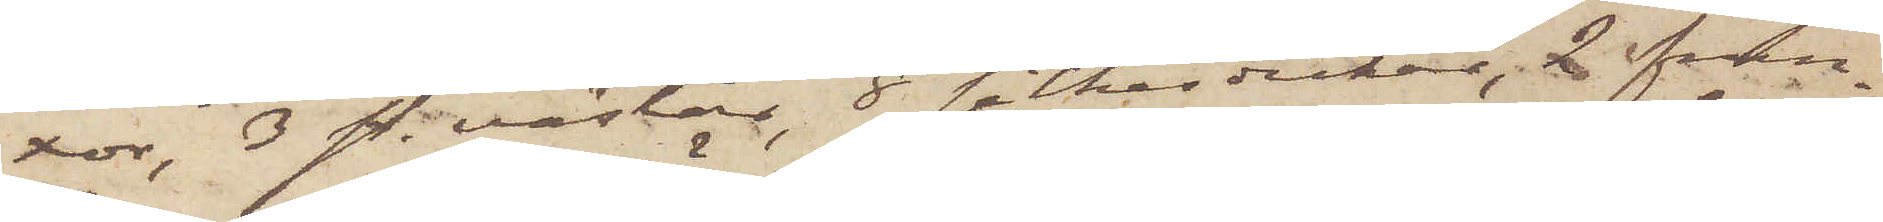xor, 3 st. västar, 8 silkesdukar, 2 frun¬
